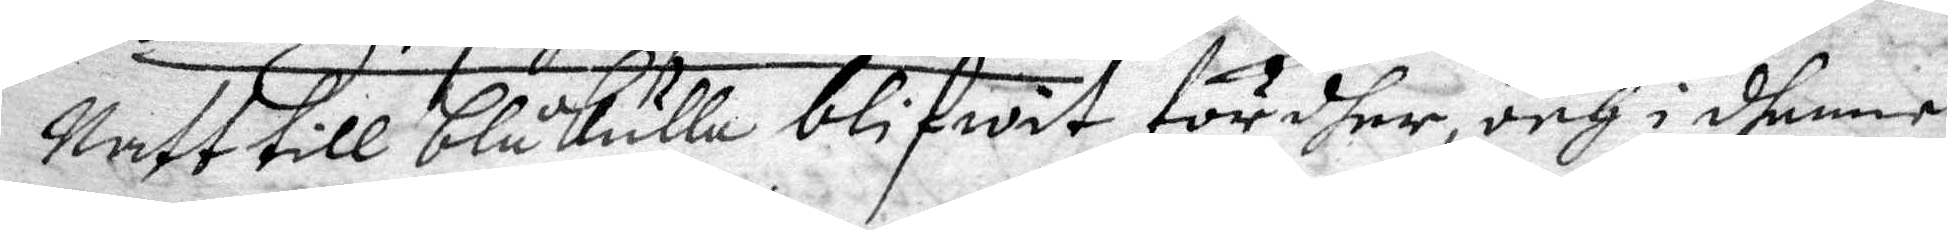Natt till blåkulla blifwit fördher, och i dhenne
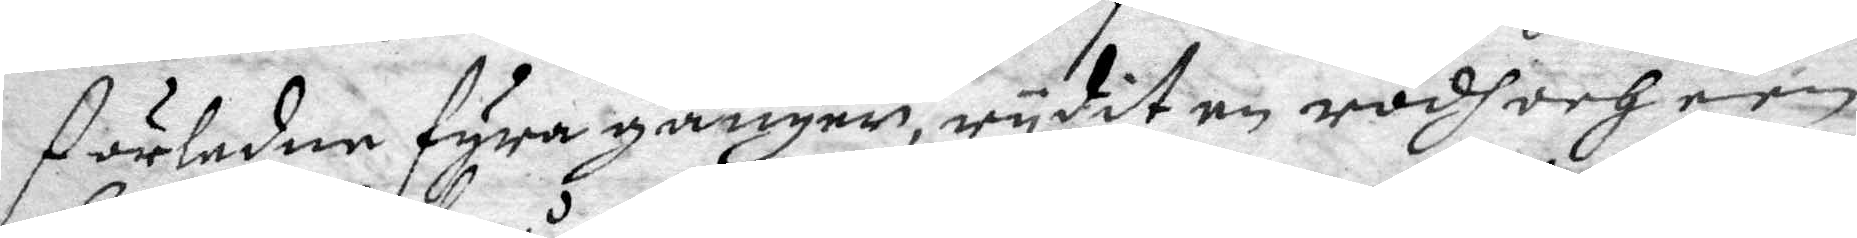förledne fyra gånger, rydit en rödh och een
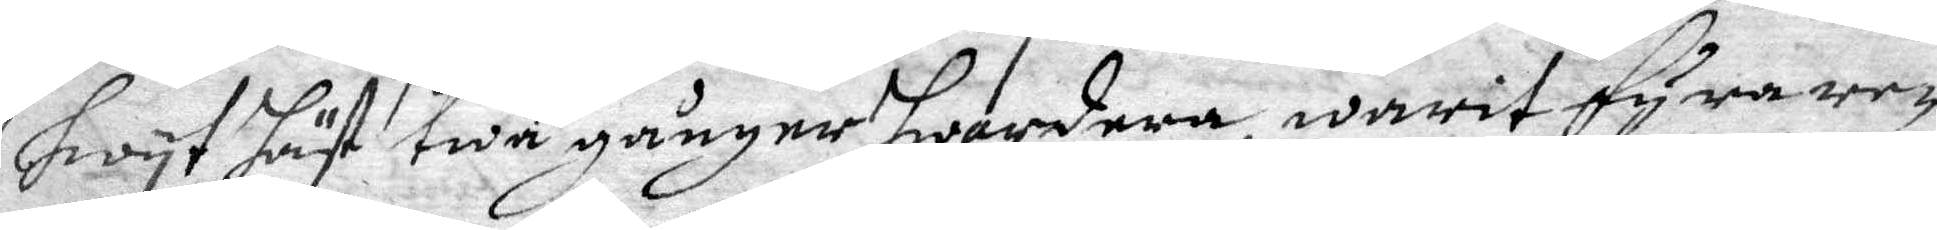hwit häst twå gånger hwardera, warit fyra re¬
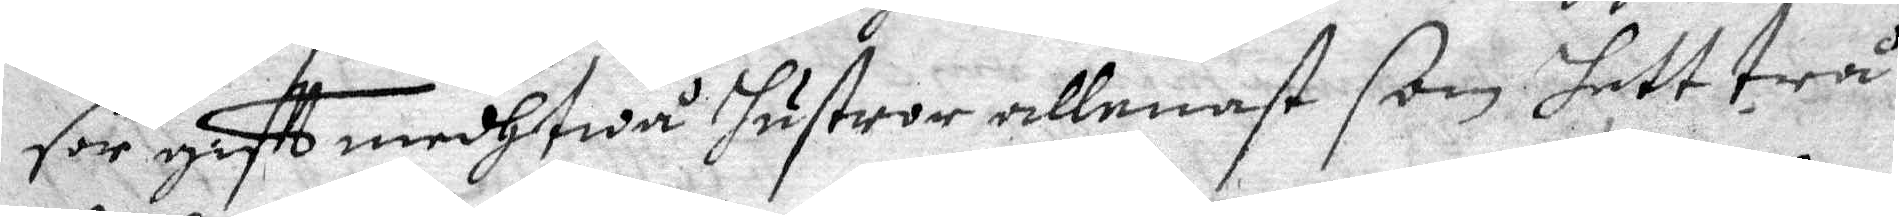sor giftt medh twå hustror allenast som hett trå
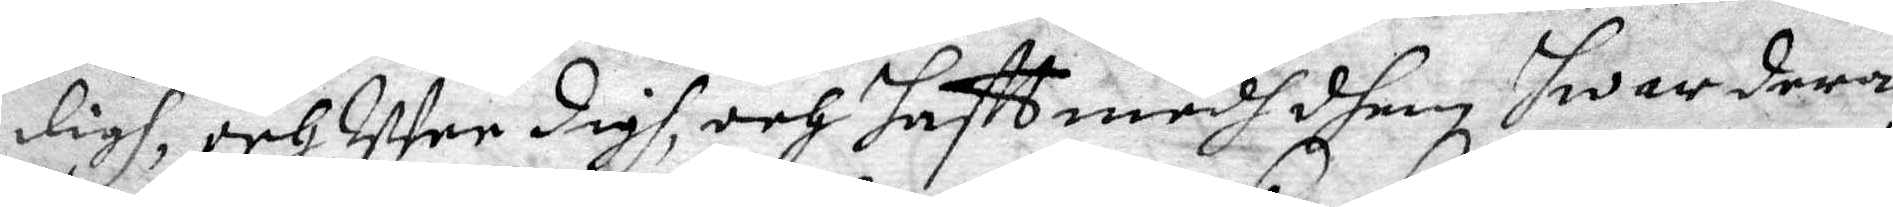digh, och Wee digh, och haftt medh dhem hwardera
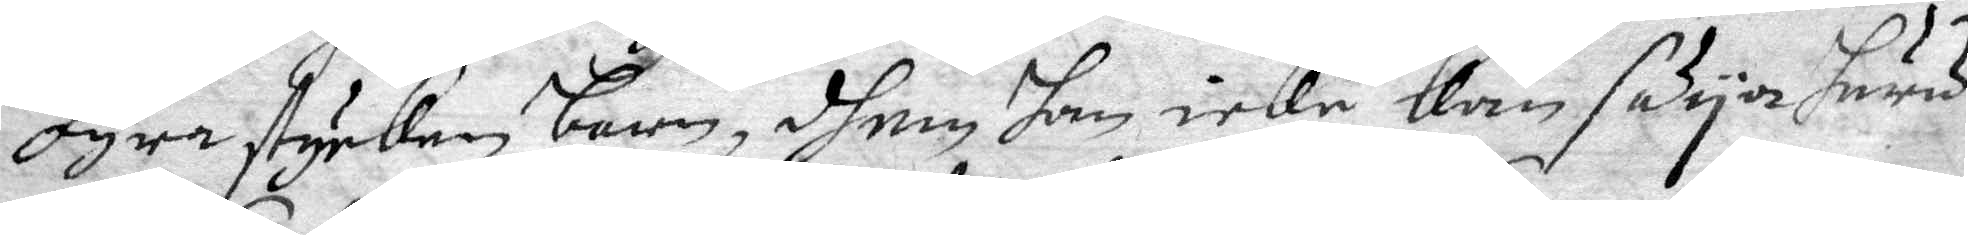fyra stycken barn, dhem han icke kan säya huru
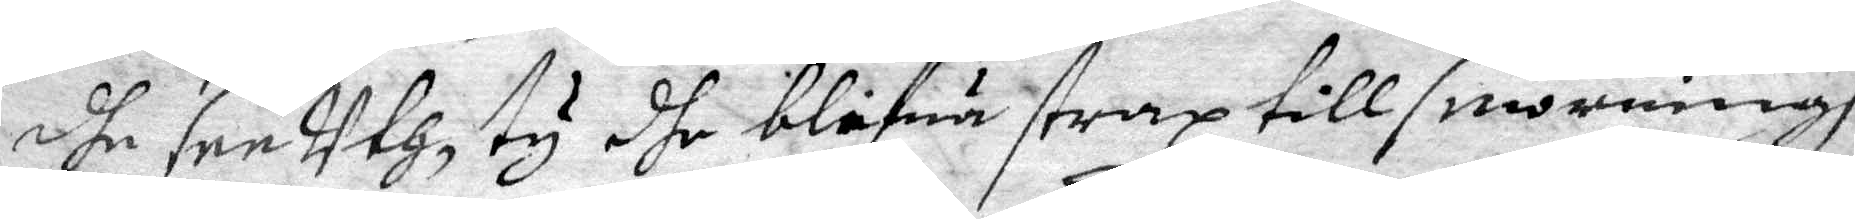dhe see uth ty dhe blifuä strax till serweringh
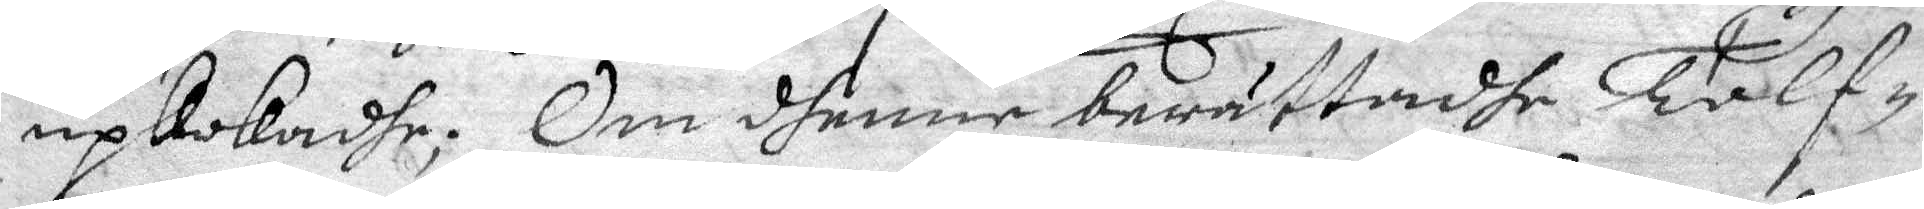upkokadhe; Om dhenne berättadhe Tolf¬
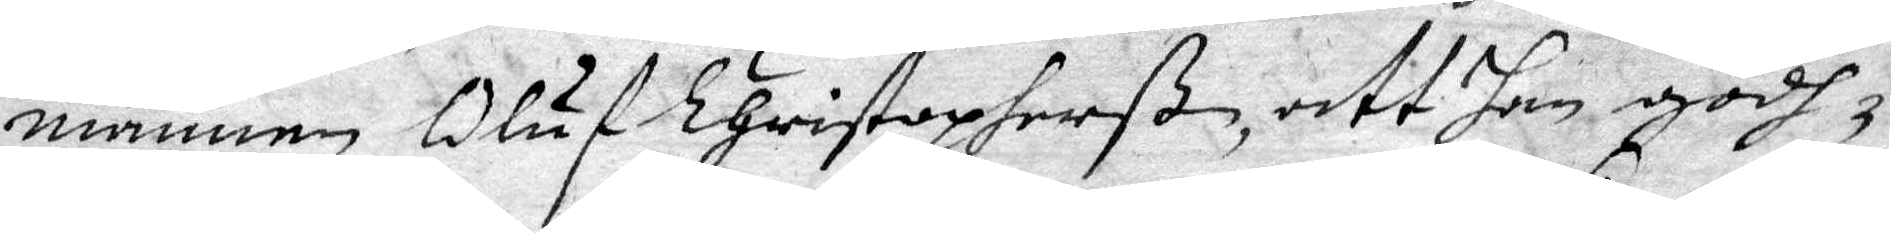mannen Oluf Christopherß, att han godh¬
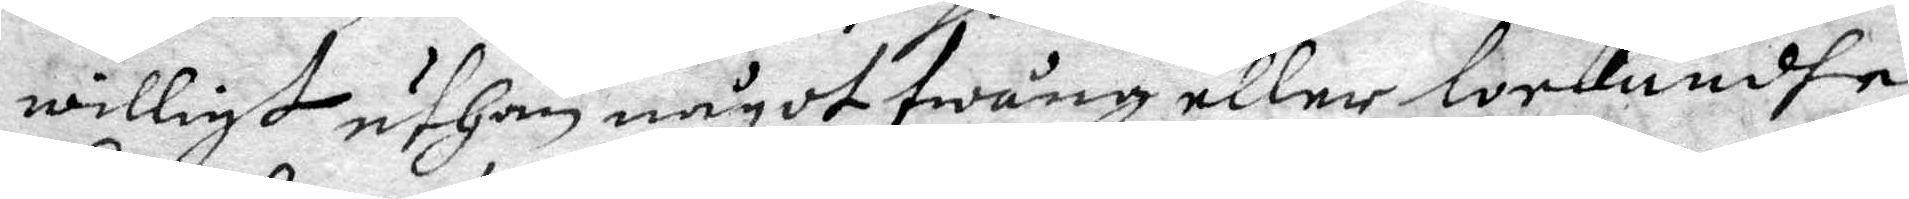willigt uthan något twång eller lockandhe
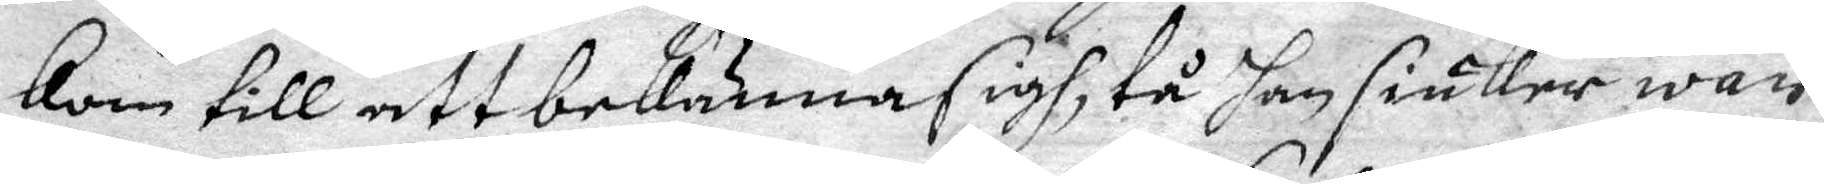kom till att bekänna sigh, tå han siuker war
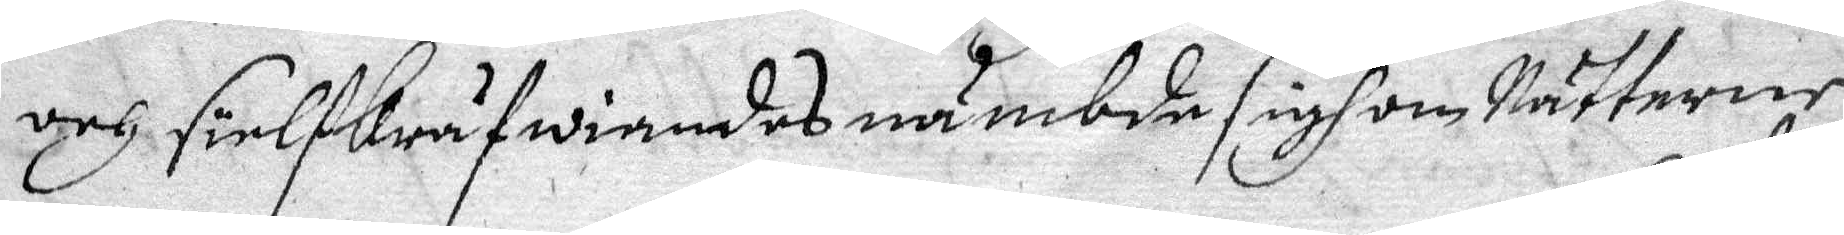och siälf kräfwiandes nämbde sigh om Nätterne
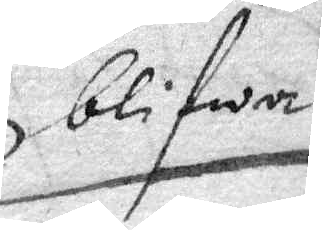blifwa
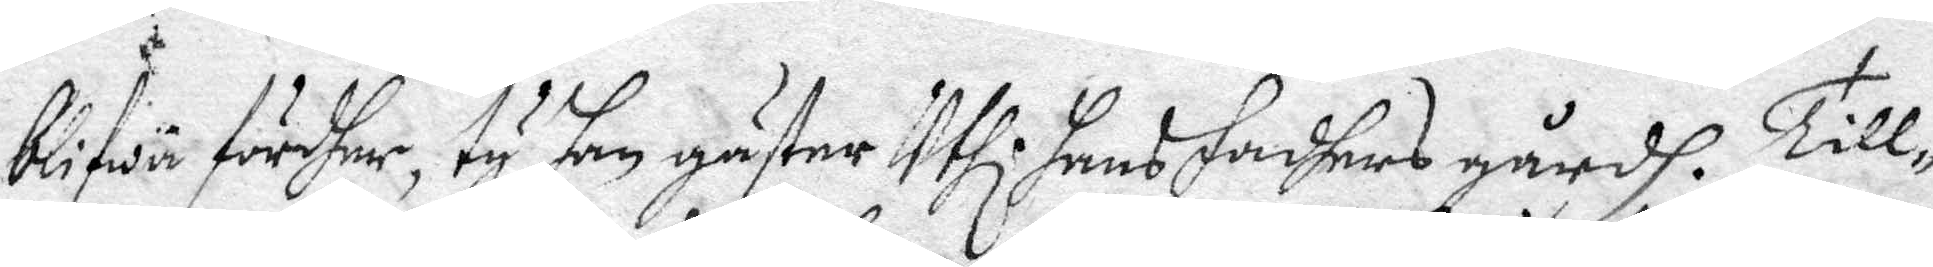blifwa fördher, ty han gäster Uthi hans fadhers gårdh. Till¬
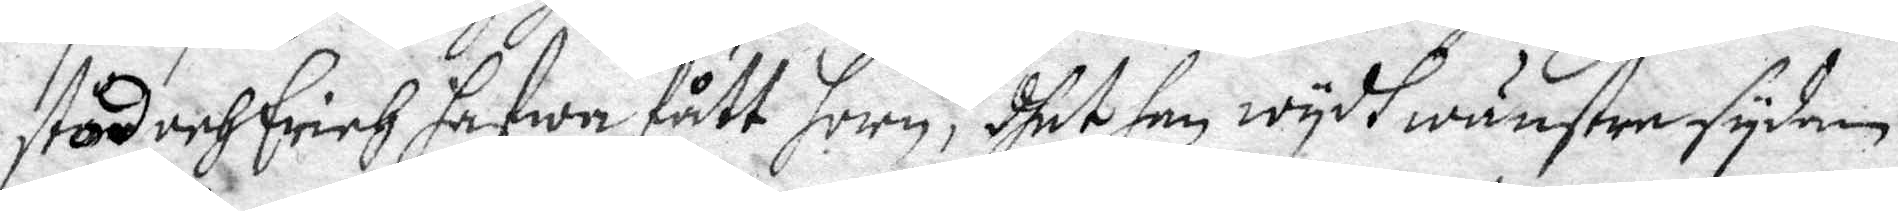stod och Erich hafwa fått horn, dhet han wydh wänstre sydan
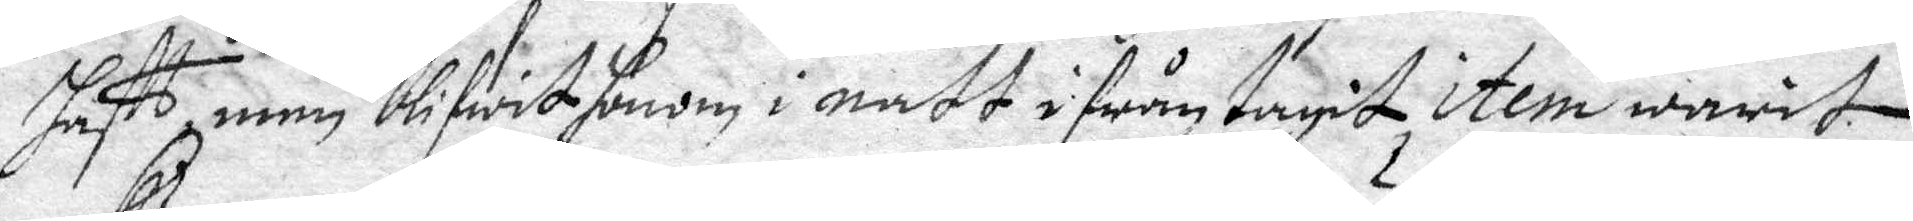haftt, men blifwit honom i natt ifrån tagit item warit
